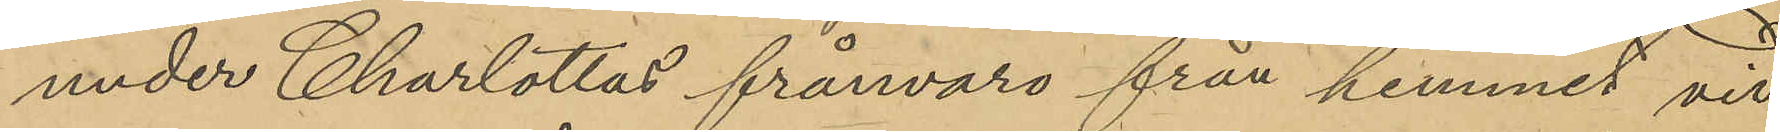under Charlottas frånvaro från hemmet vid
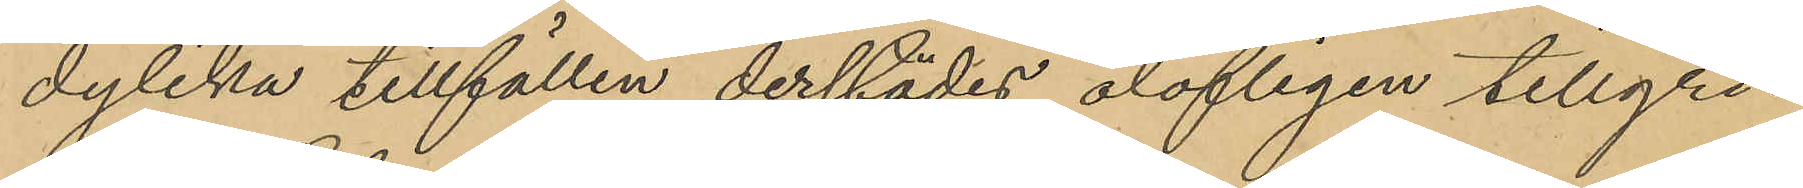dylika tillfällen derstädes olofligen tillgri¬
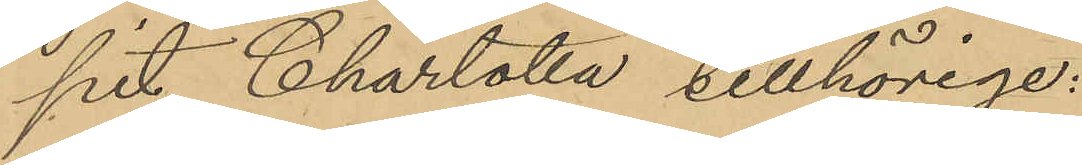pit Charlotta tillhörige:
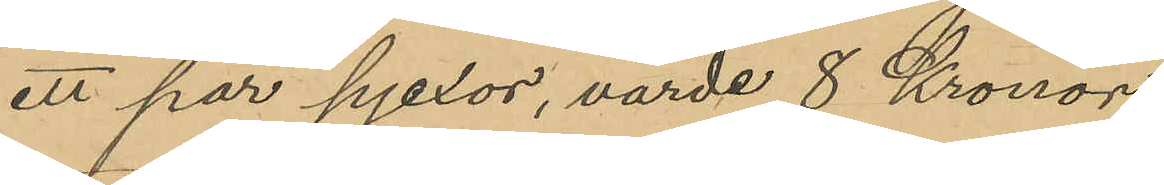ett par pjexor, värde 8 Kronor
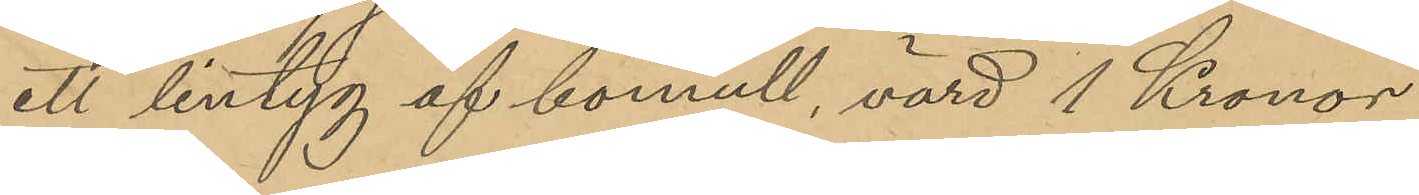ett lintyg af bomull, värd 1 Kronor
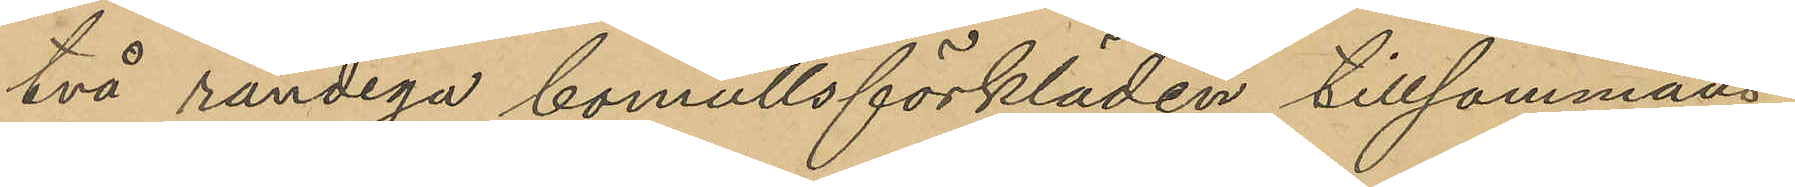två randiga bomullsförkläden tillsammans
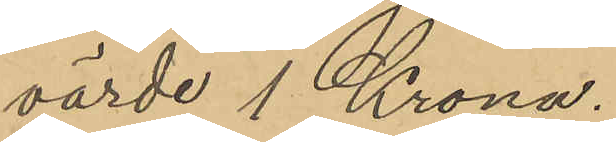värde 1 Krona.
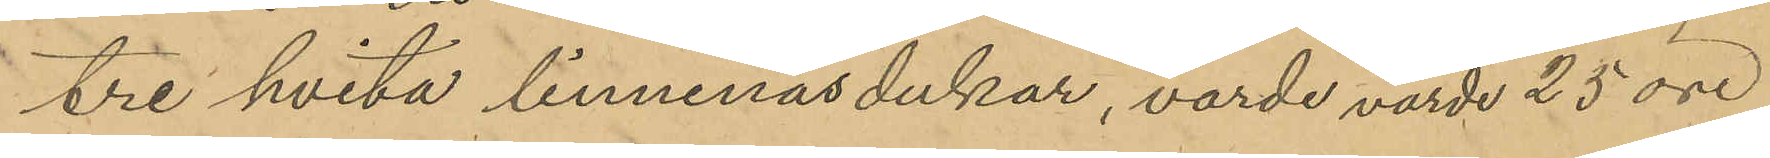tre hvita linnenäsdukar, värde värde 25 öre
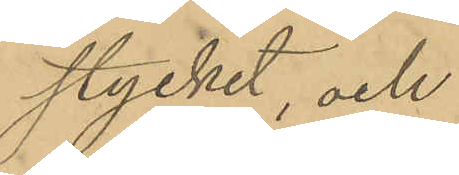stycket, och
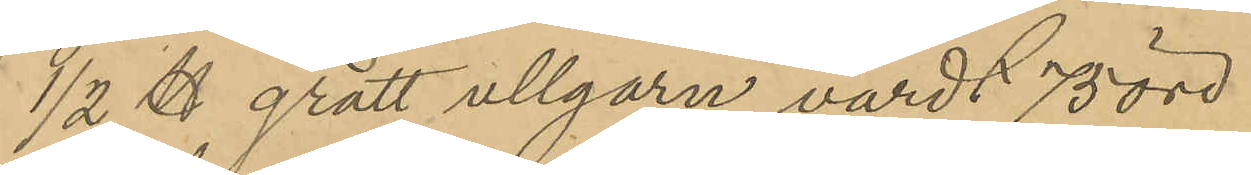1/2 ℔ grått ullgarn värdt 75 öre
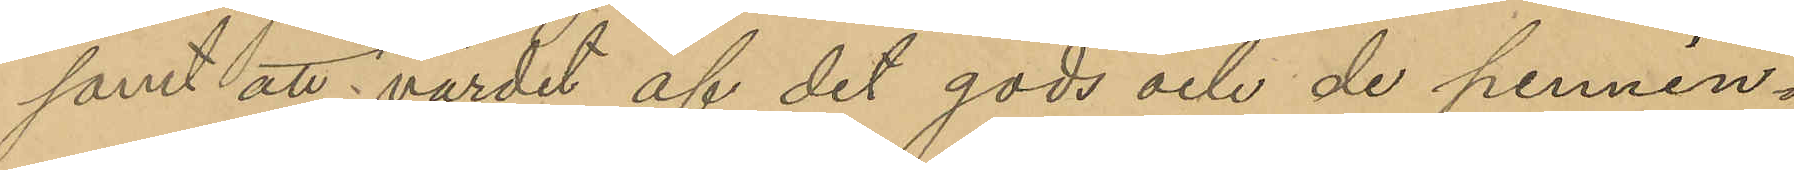samt att värdet af det gods och de pennin¬
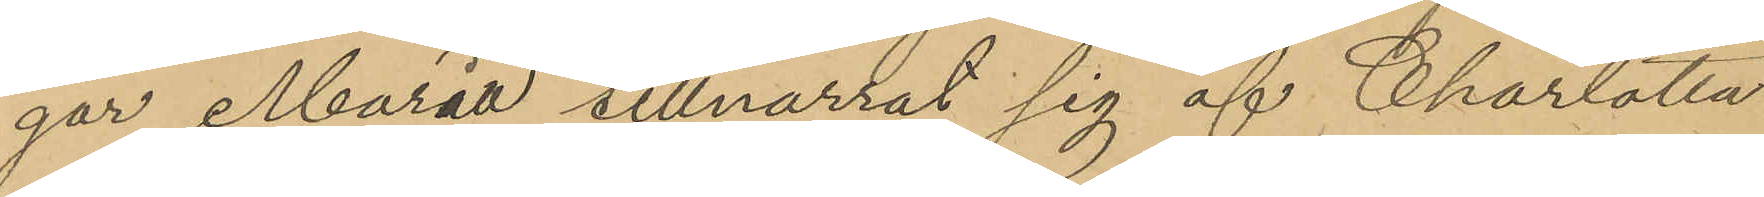gar Maria tillnarrat sig af Charlotta
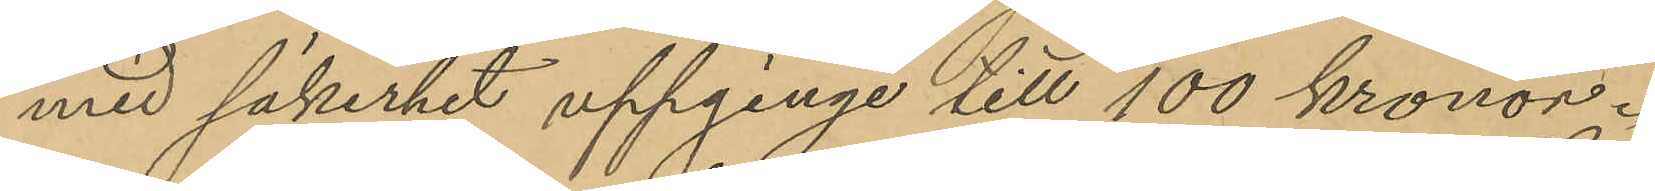med säkerhet uppginge till 100 kronor.
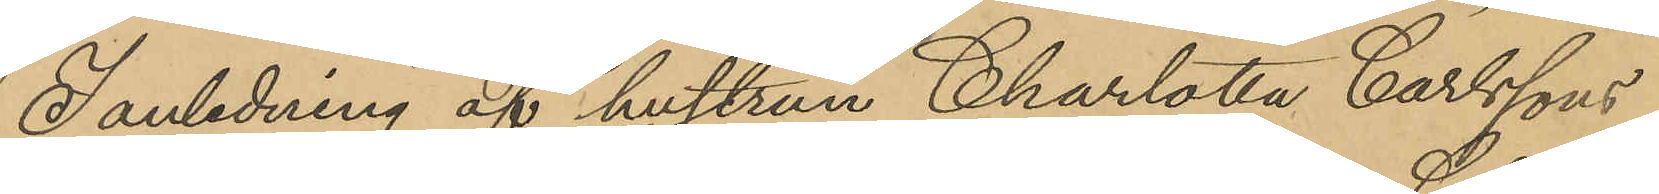I anledning af hustrun Charlotta Carlssons
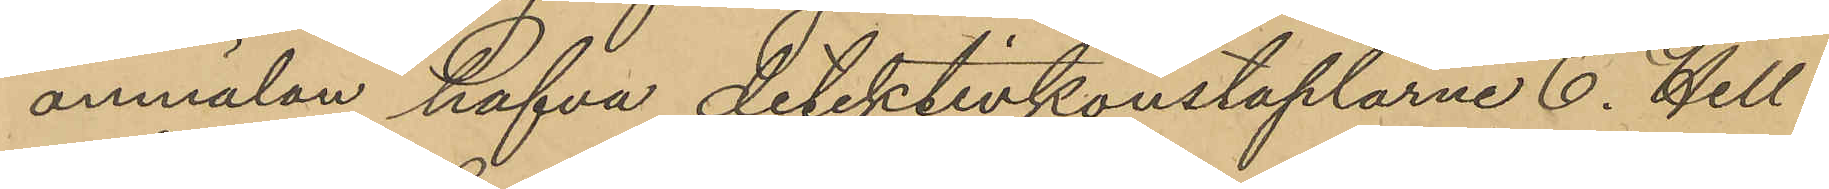anmälan hafva detektivkonstaplarne C. Hell¬
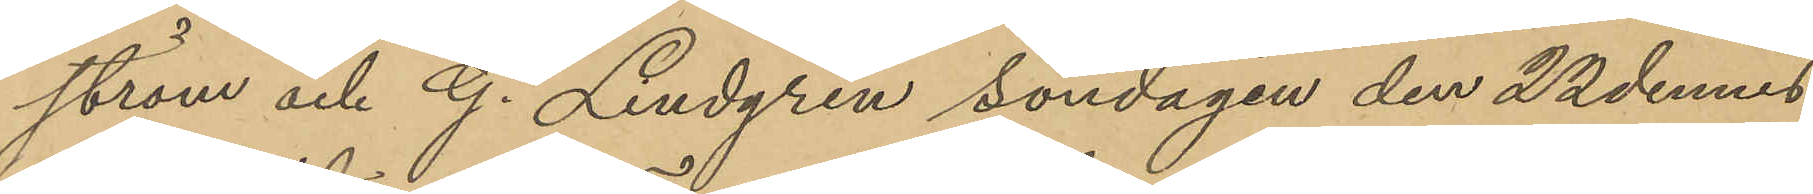ström och G. Lindgren söndagen den 22 dennes
